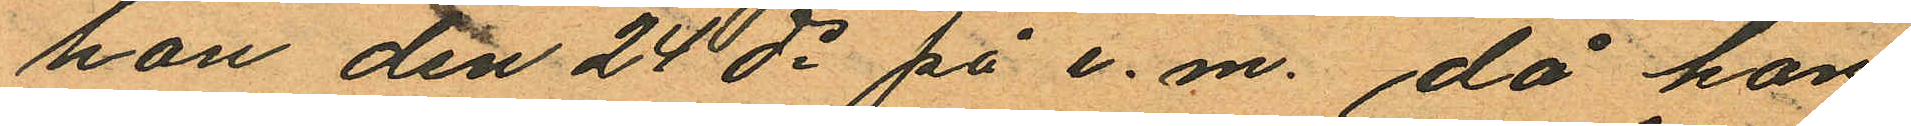hon den 24 ds på e.m., då hon
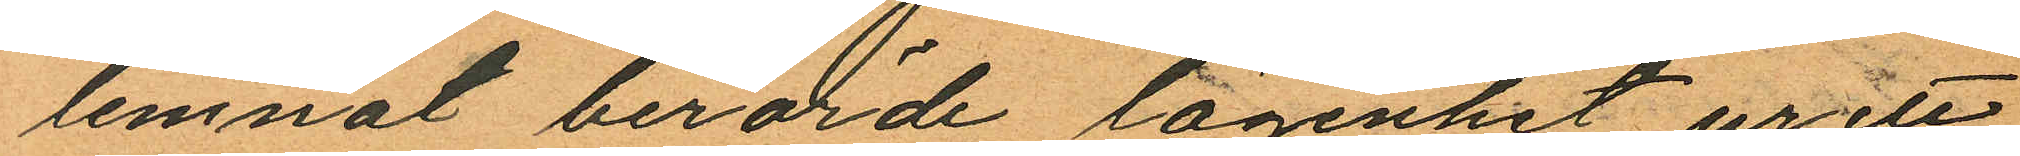lemnat berörde lägenhet ur ett
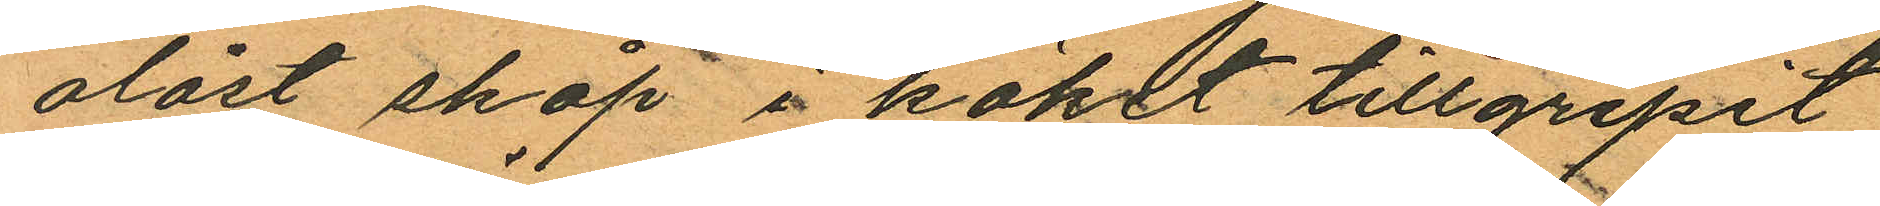olåst skåp i köket tillgripit
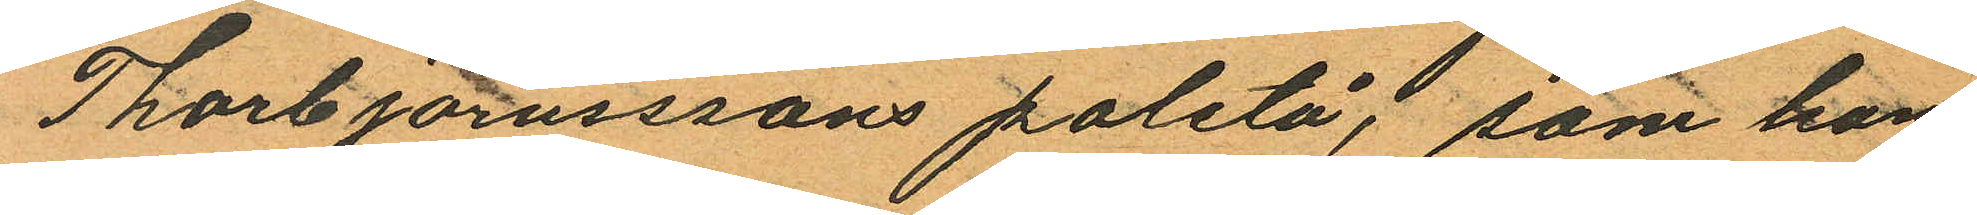Thorbjörnssons paletå, som hon
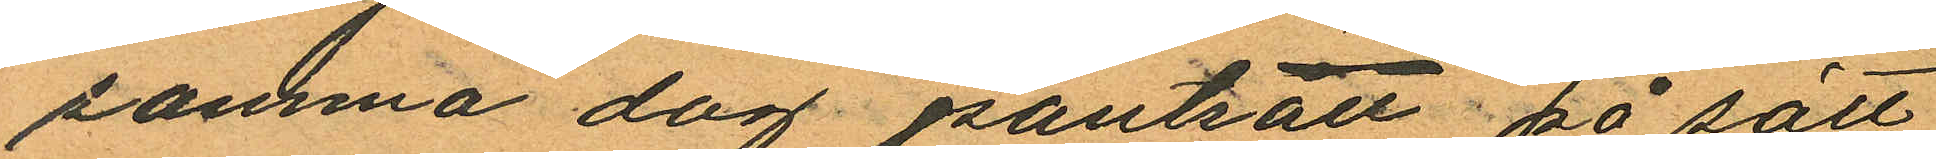samma dag pantsatt på sätt
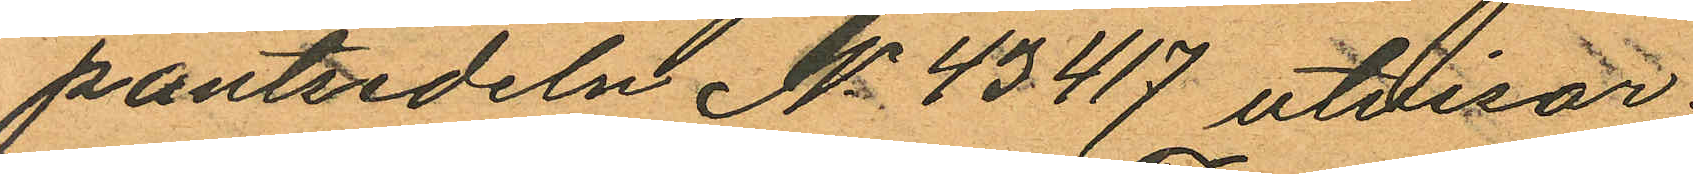pantsedeln No 43417 utvisar;
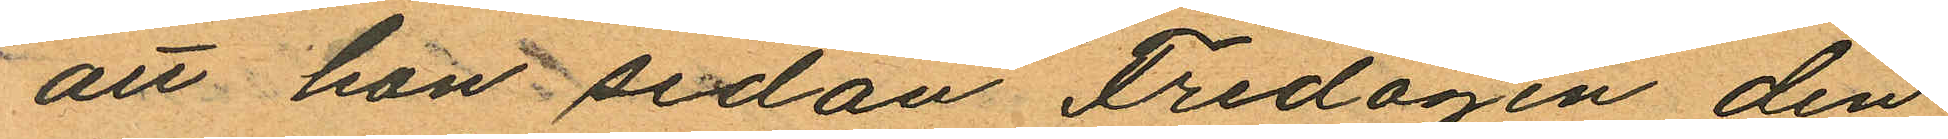att hon sedan Fredagen den
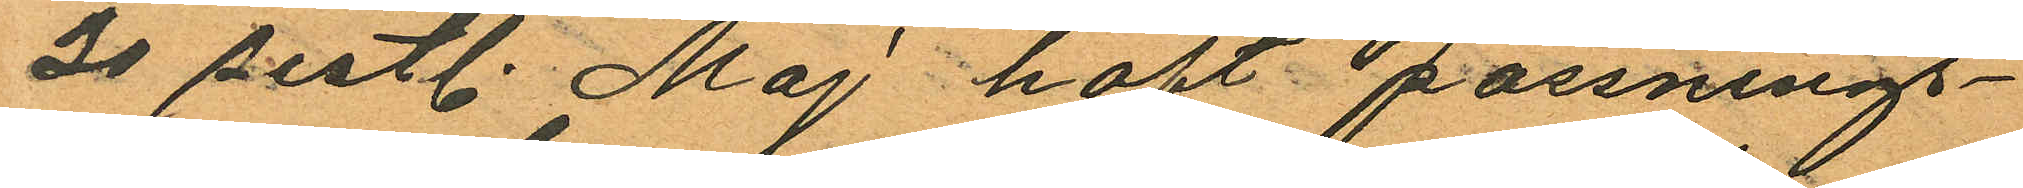30 sistl. Maj haft passnings¬
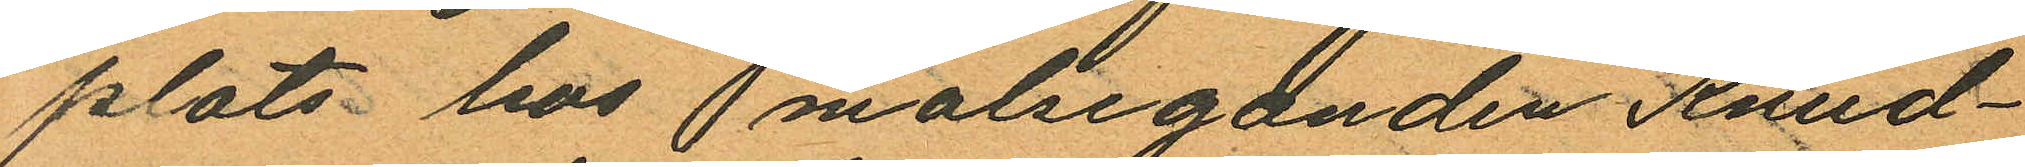plats hos malseganden Knud¬
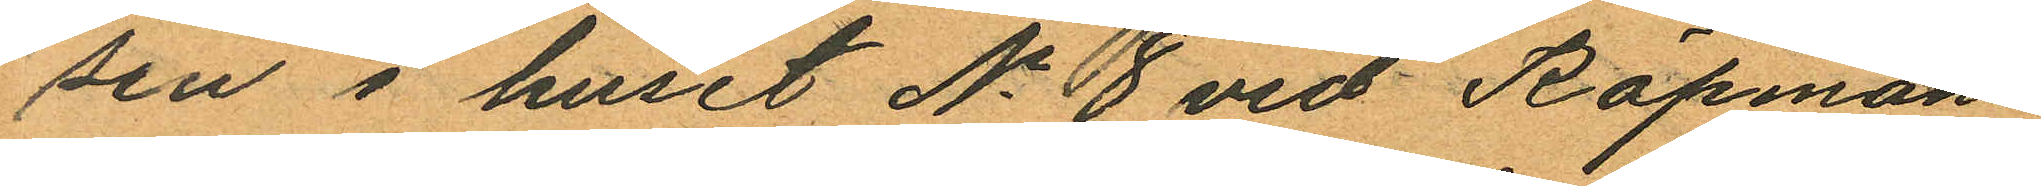sen i huset No 8 vid Köpmans
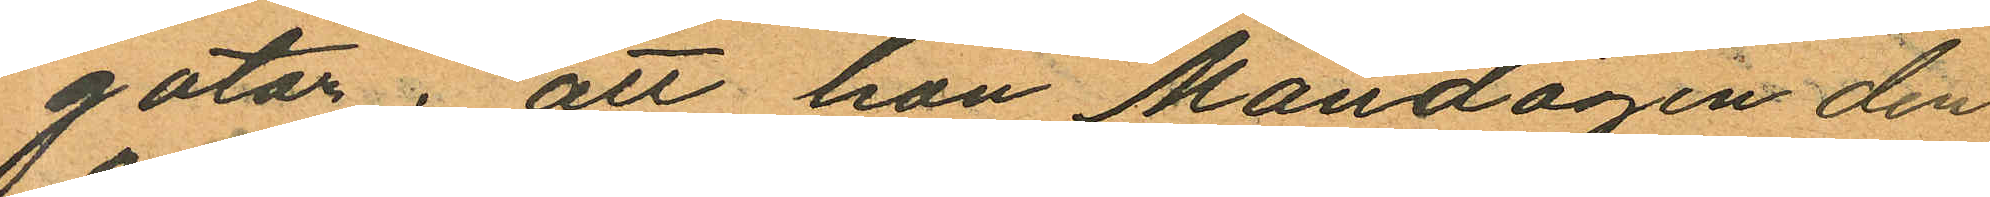gatan; att hon Mandagen den
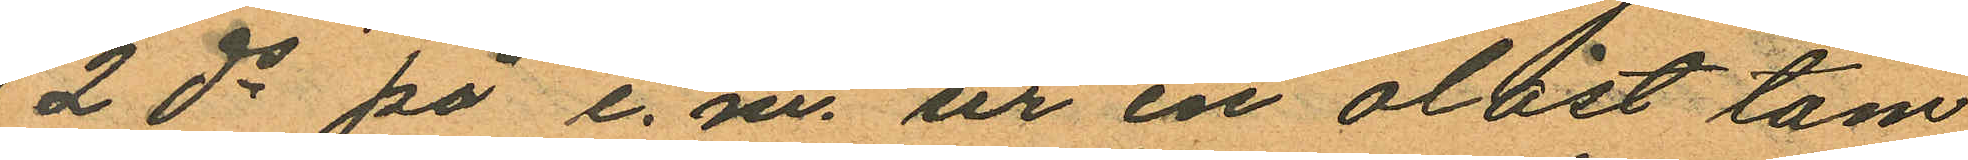2 ds på e.m. ur en olåst tam
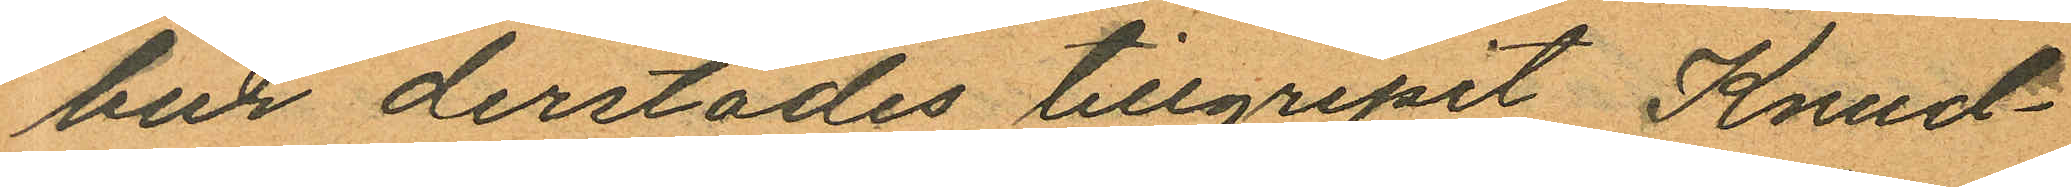bur derstädes tillgripit Knud¬
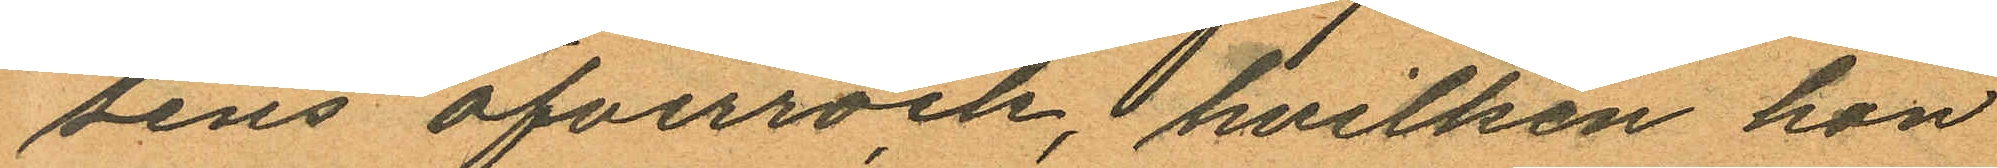sens öfverrock, hvilken hon
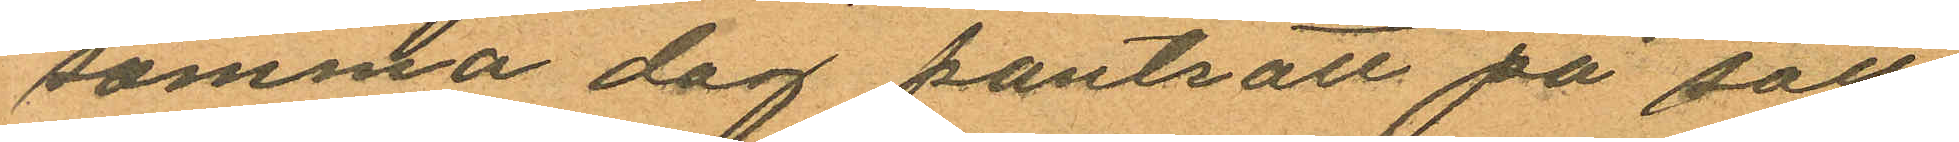samma dag pantsatt på sätt
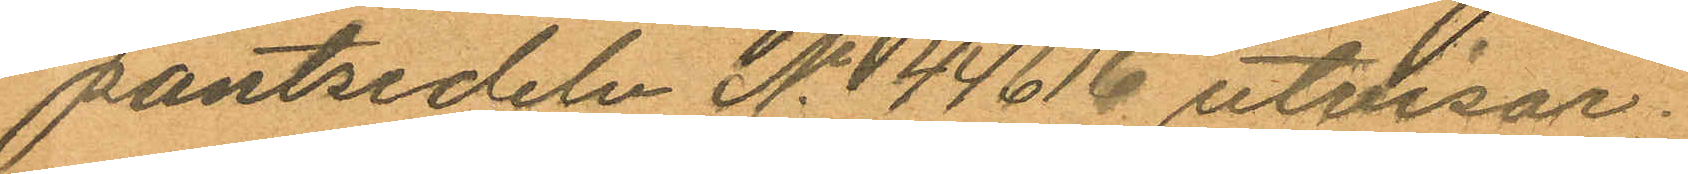pantsedeln No 144616 utvisar;
